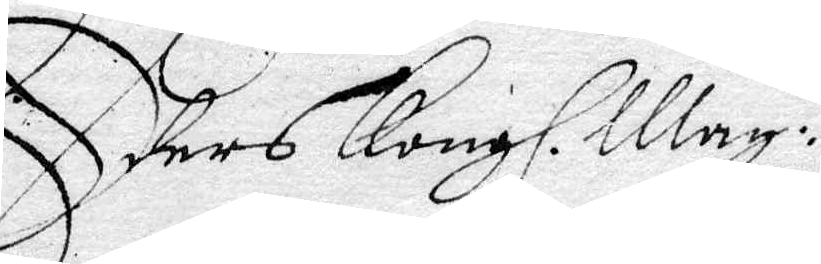Eders Kongl. May:ts
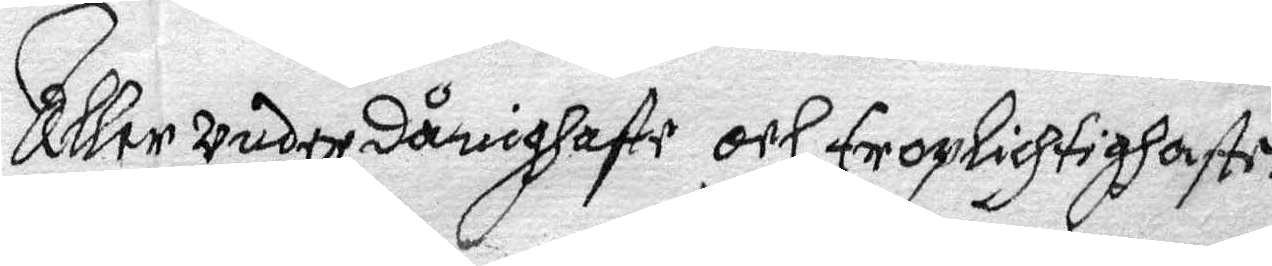Aller underdånighaste och troplichhaste
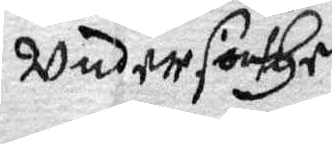Undersåthe.
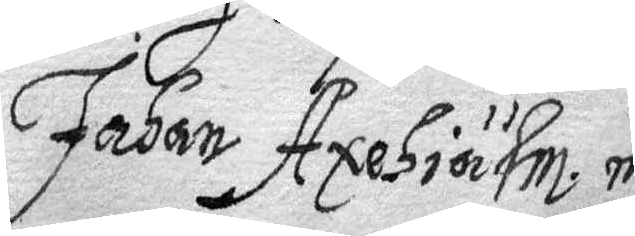Johan Axehiälm m
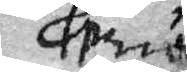....
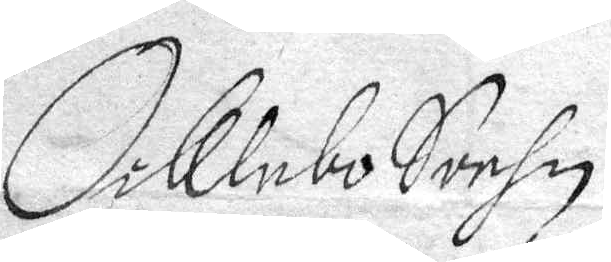Oiklebo Sochn
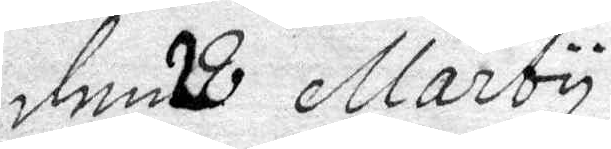den 28 Marty
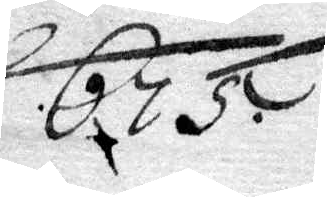675.
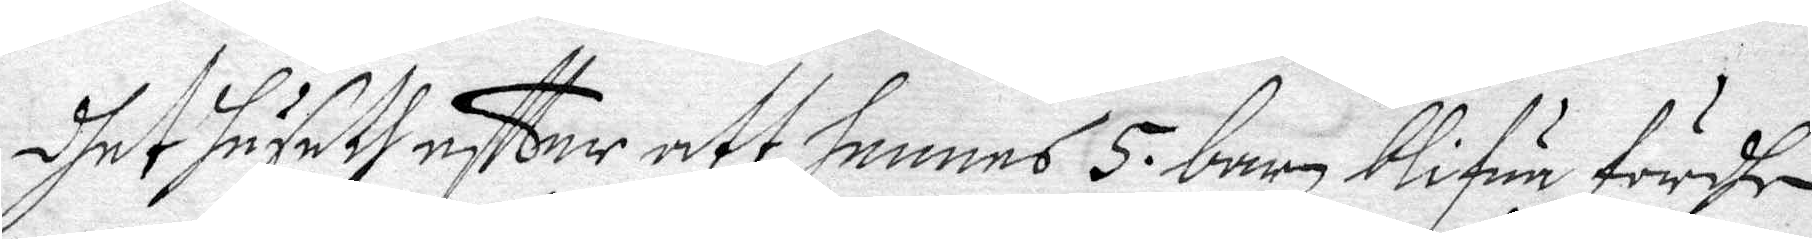dhet huseth effter att hennes 5 barn blifua fördhe
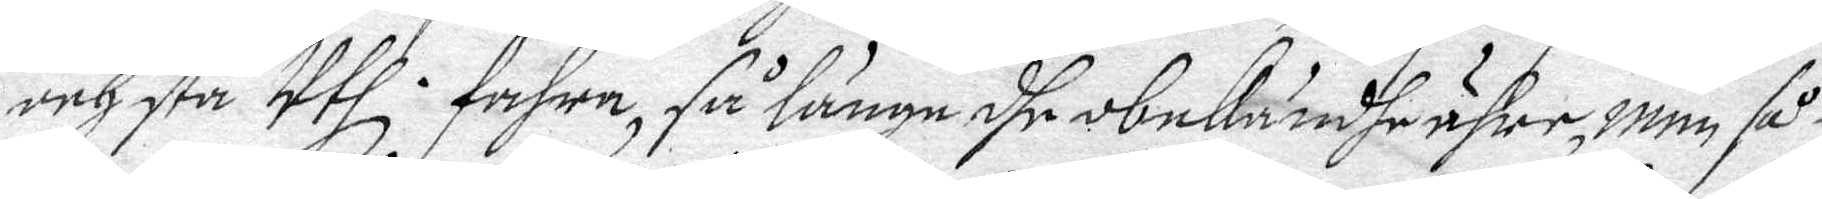och stå Uthl. fahra, så länge dhe obekändhe ähre, men så¬
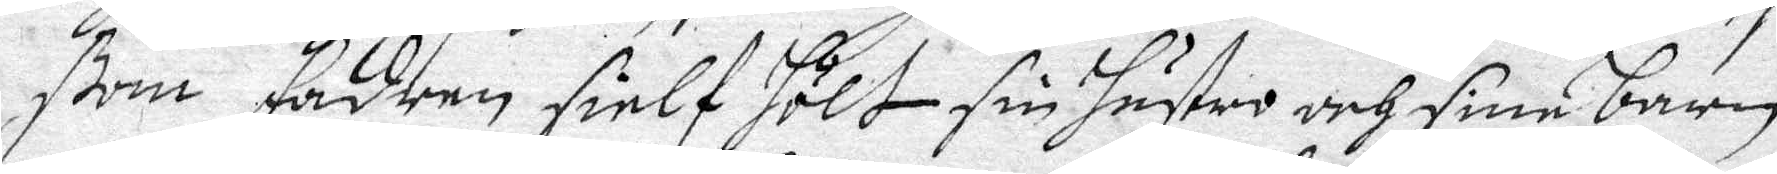ßom fadren sielf hölt sin hustru och sine barn
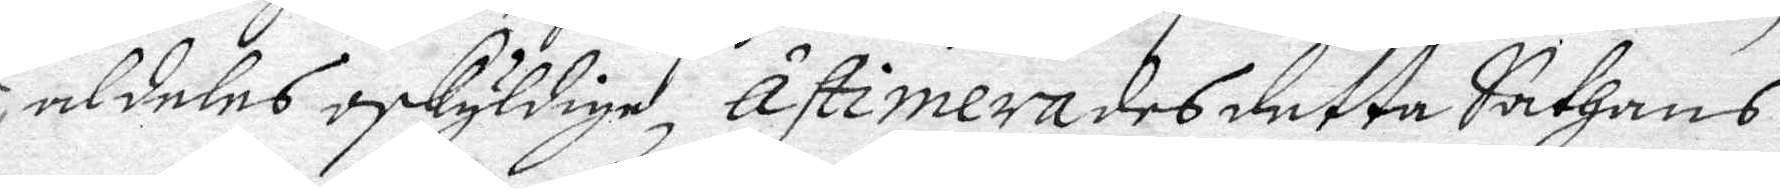aldeles oskyldige, åstimerades detta Sathans
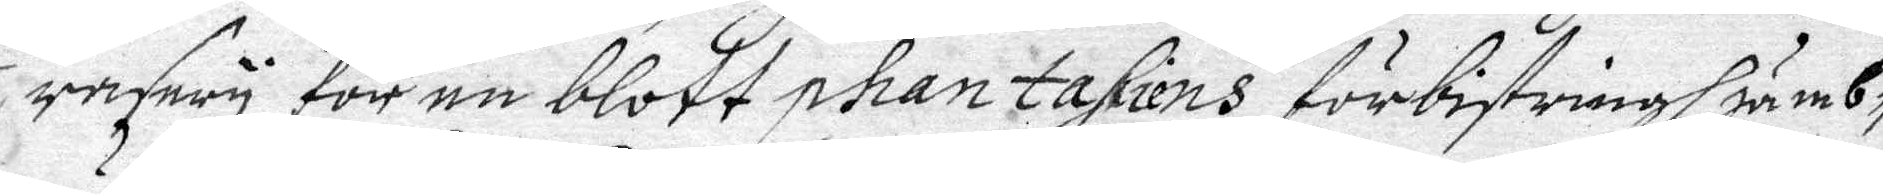rasery för en blott phantasiens förbistringh jämb¬
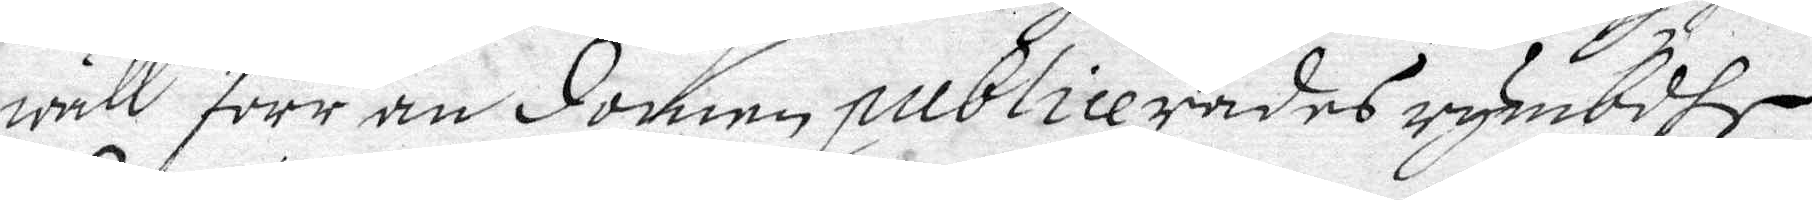wäll förr än Domen publicerades rymbdhe
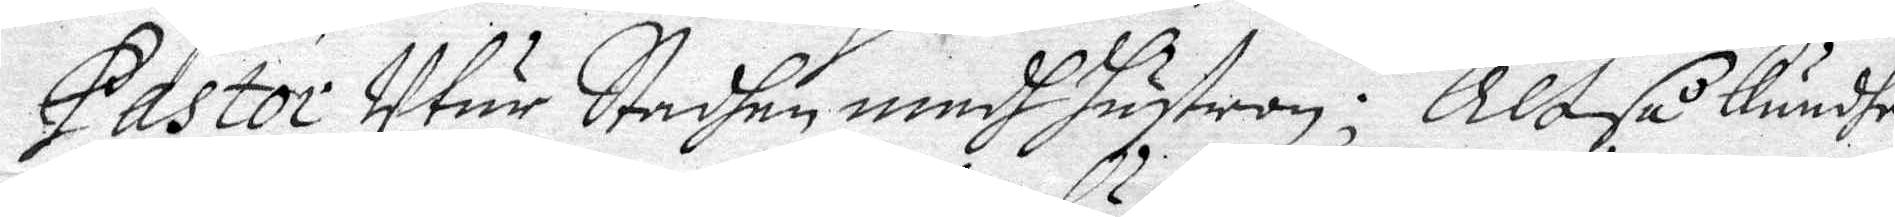Pastor Uthur Stadhen medh hustrun; Altså kundhe
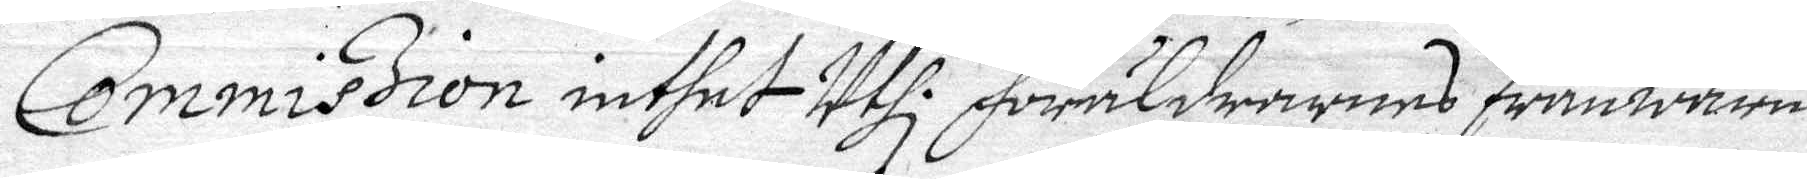Commission inthet Uthl. föräldrarnas frånwaru
